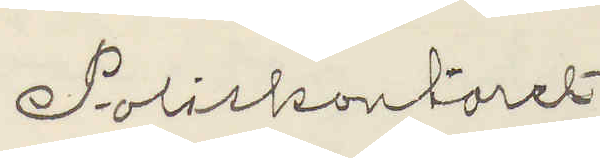Poliskontoret
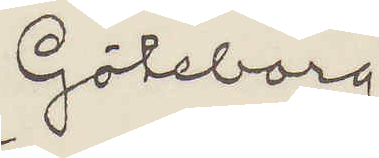Göteborg
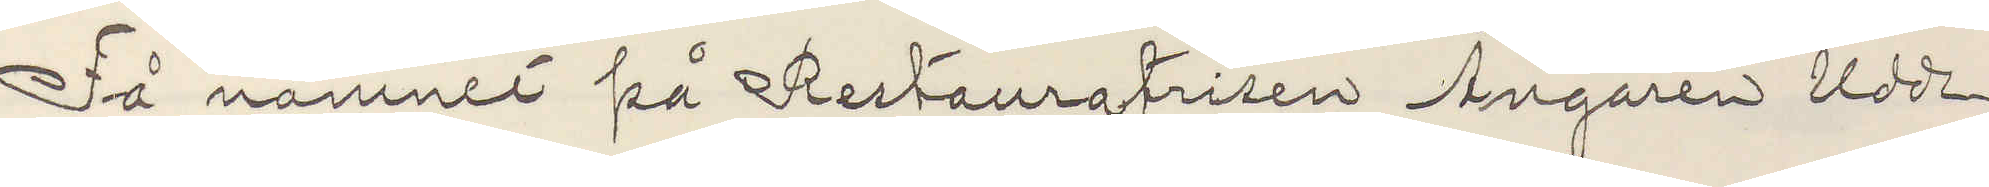Få namnet på Restauratrisen Ångaren Udde¬
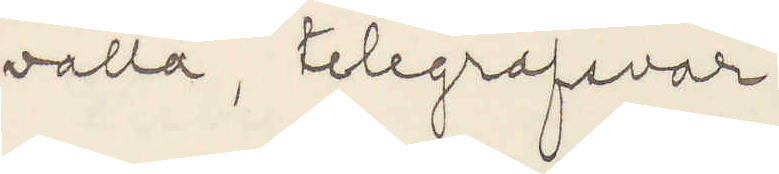valla, telegrafsvar.
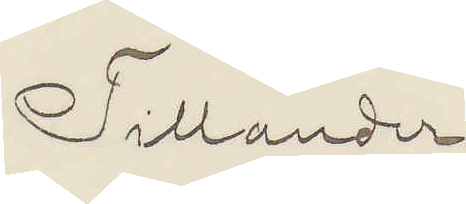Tillander
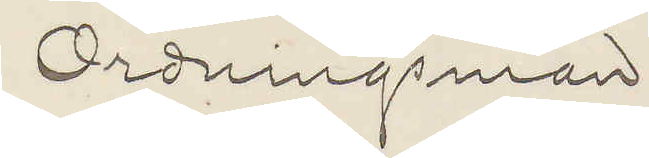Ordningsman.
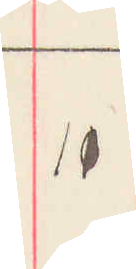11
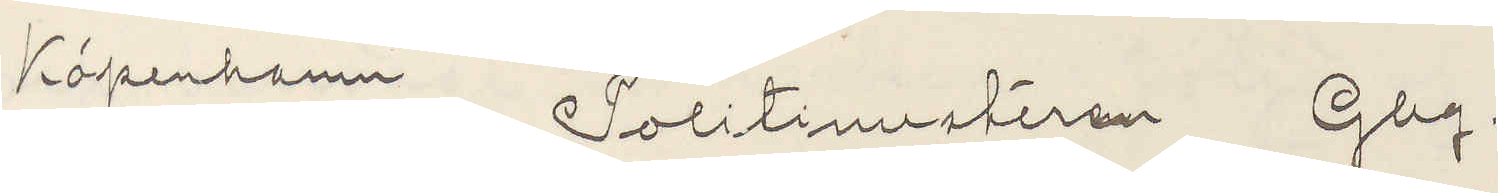Köpenhamn Politimesteren Gbg.
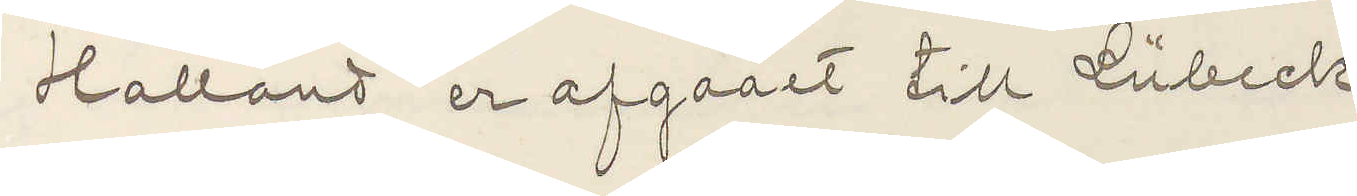Halland er afgaaet till Lübeck
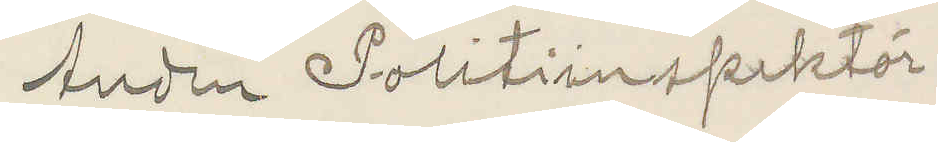Anden Politiinspektör
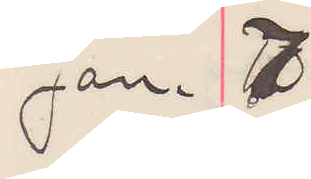Jan. 7
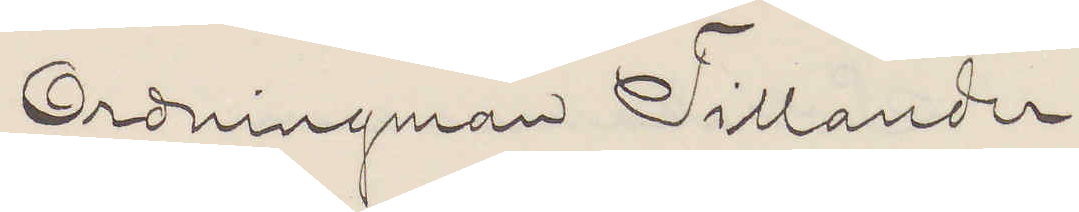Ordningsman Tillander
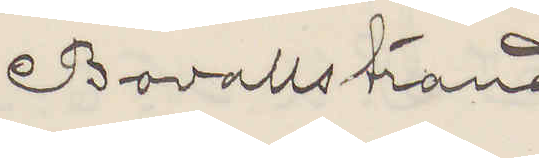Bovallstrand
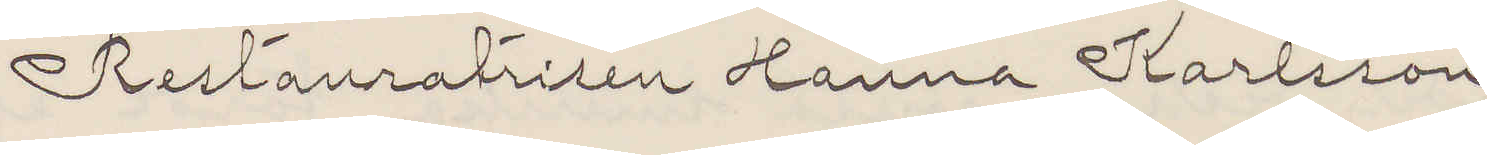Restauratrisen Hanna Karlsson
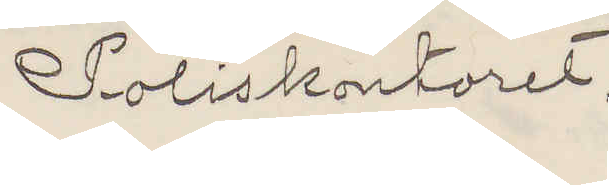Poliskontoret.
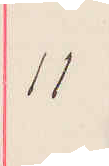11
